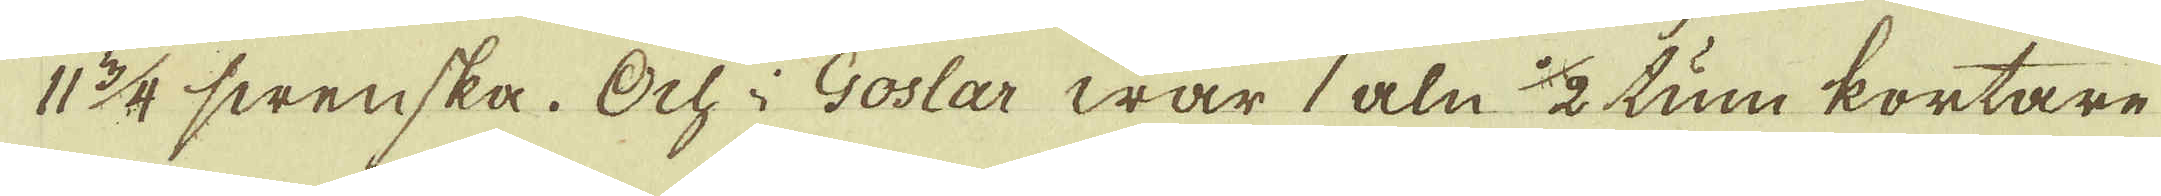11 3/4 swenska. Och i Goslar war 1 aln 1/2 tum kortare
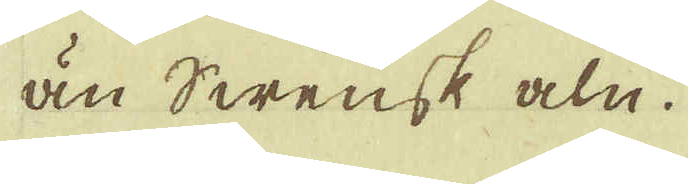än Swensk aln.
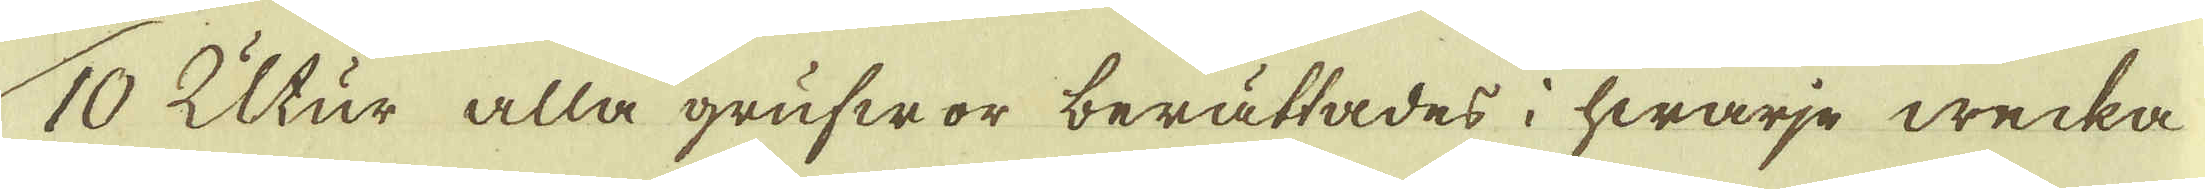10 Utur alla grufwor berättades i hwarje wecka
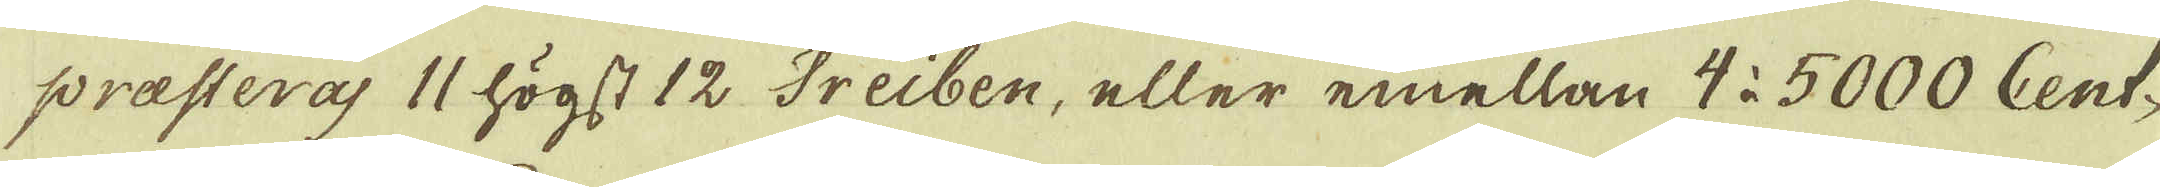præsteras 11 högst 12 Treiben, eller emellan 4 à 5000 Cent-
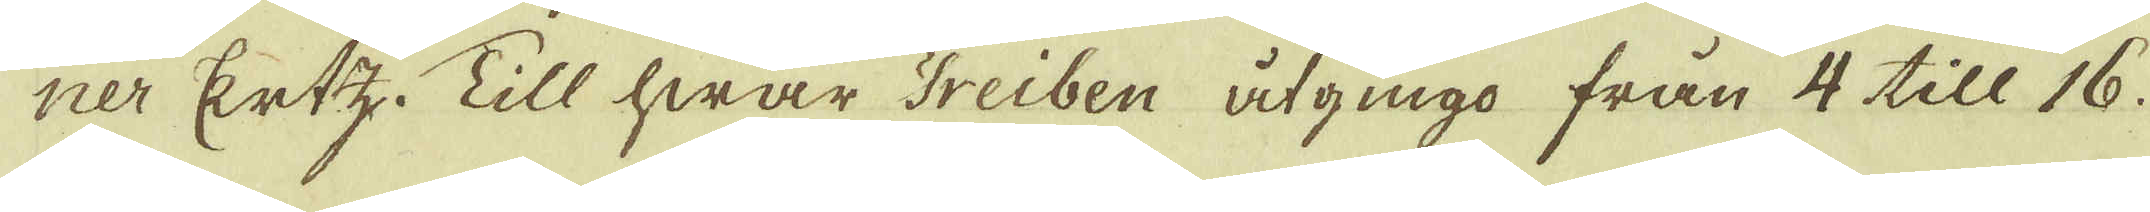ner Ertz. Till hwar Treiben åtgingo från 4 till 16.
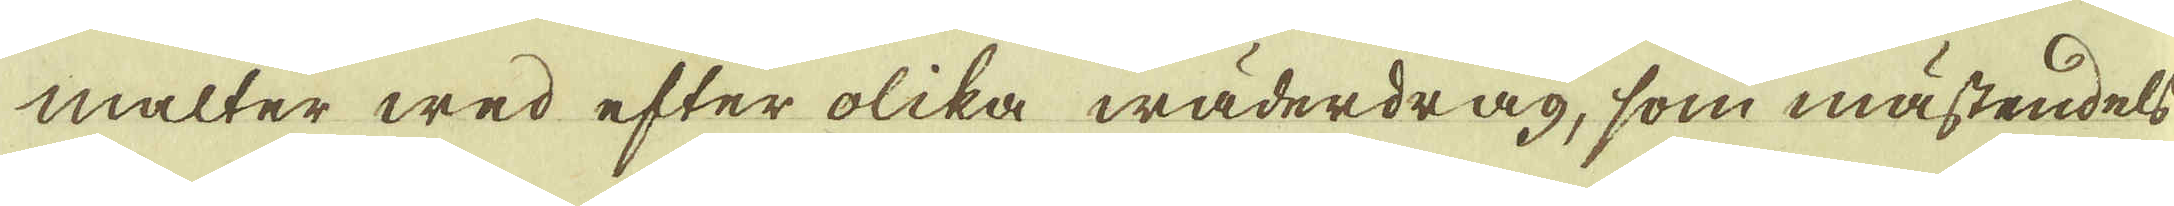malter wed efter olika wäderdrag, som mästendels
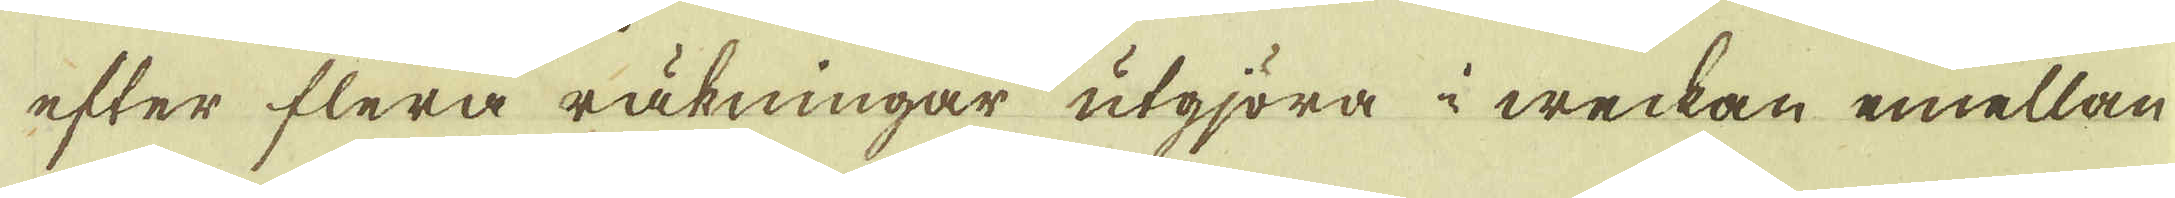efter flera räkningar utgjöra i weckan emellan
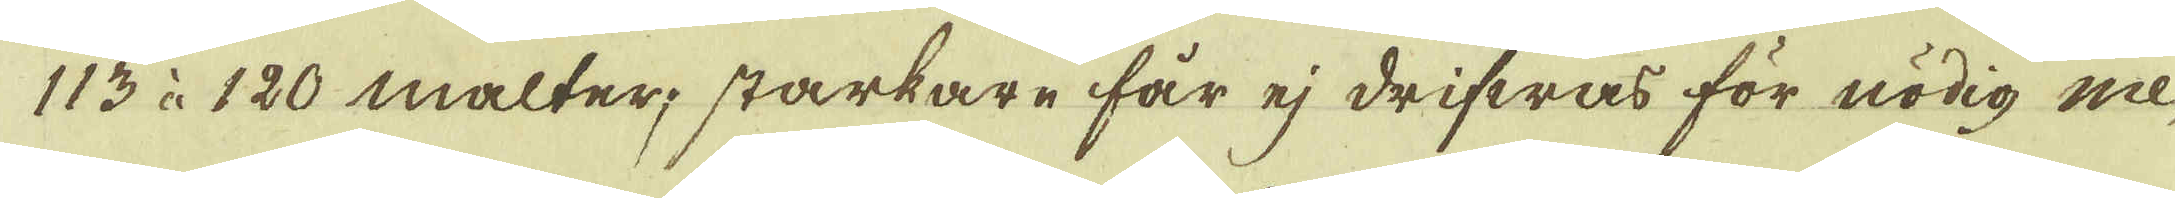113 à 120 malter; starkare får ej drifwas för nödig me-
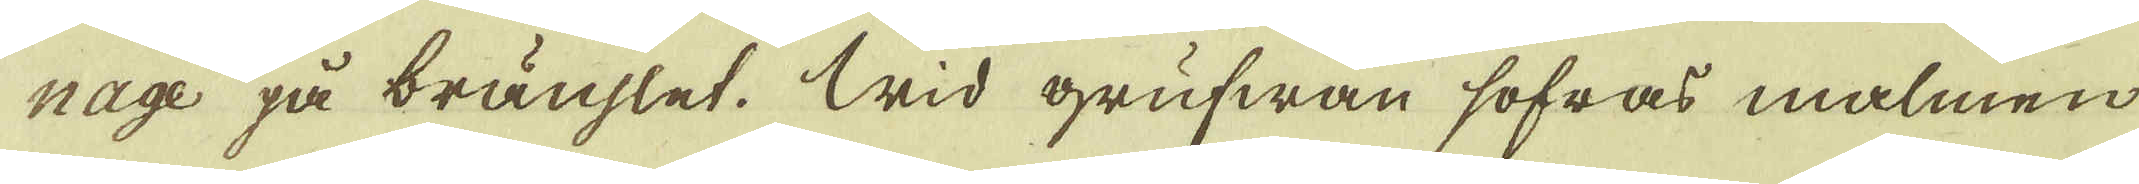nage på bränslet. Wid grufwan sofras malmen
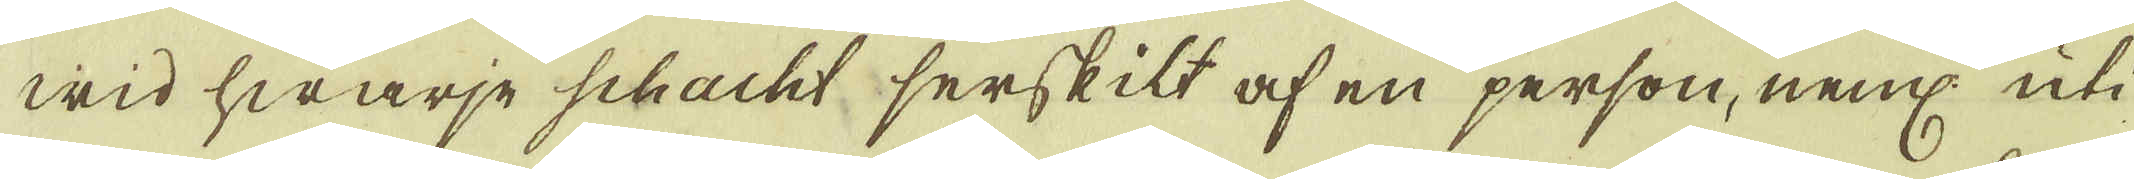wid hwarje schacht serskilt af en person, neml: uti
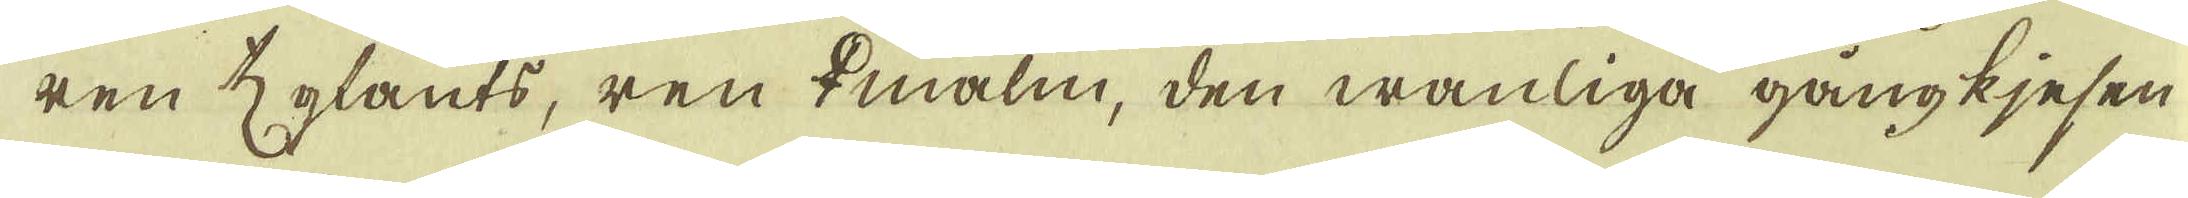ren ♄glants, ren ♀malm, den wanliga gångkjesen
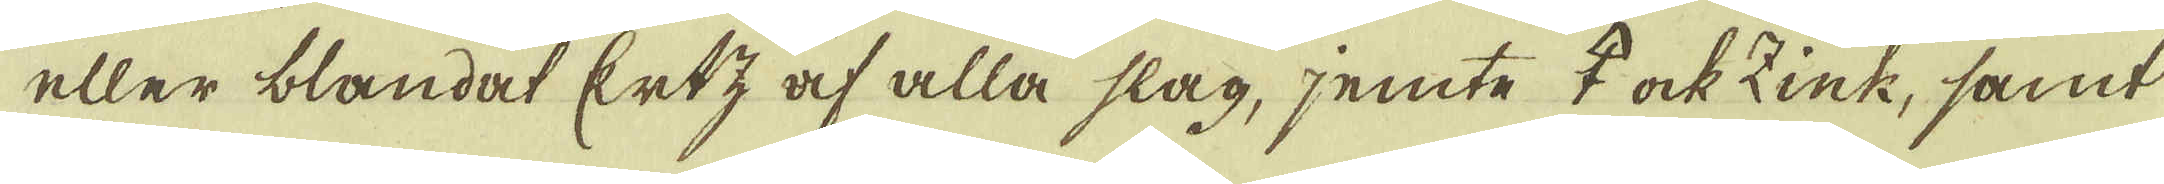eller blandat Ertz af alla slag, jemte ♀ ock Zink, samt
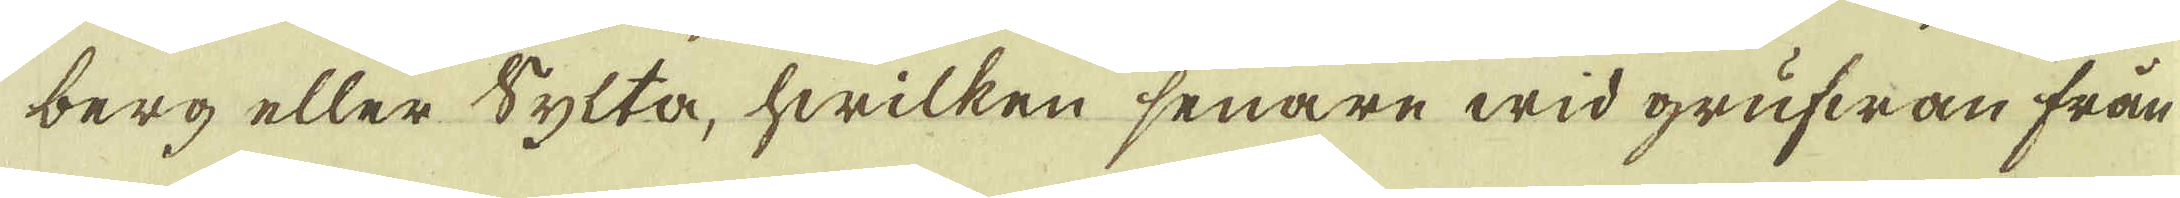berg eller Sylta, hwilken senare wid grufwan från
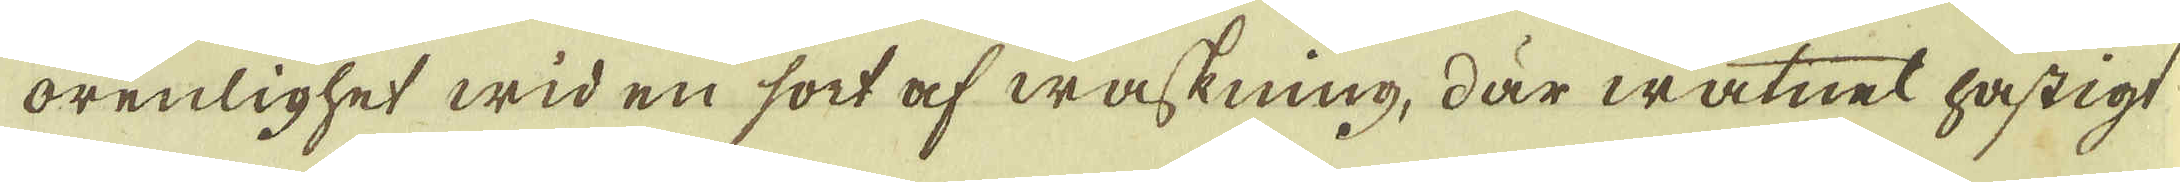orenlighet wid en sort af waskning, där watnet hastigt
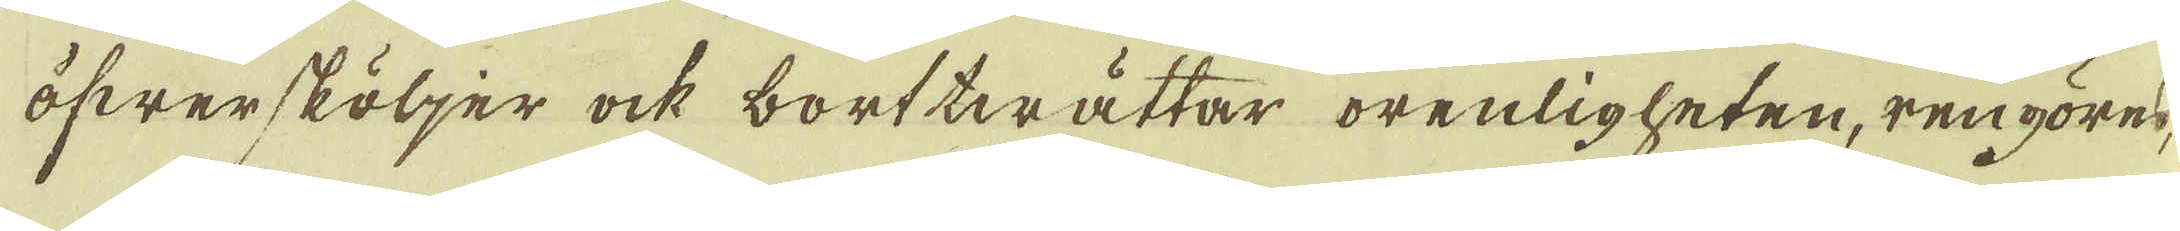öfwersköljer ock borttwättar orenligheten, rengöres,
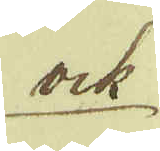ock
